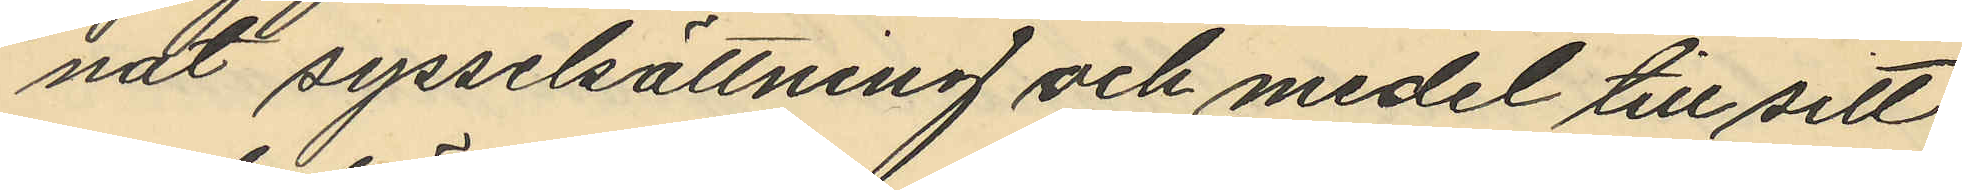nat sysselsättning och medel till sitt
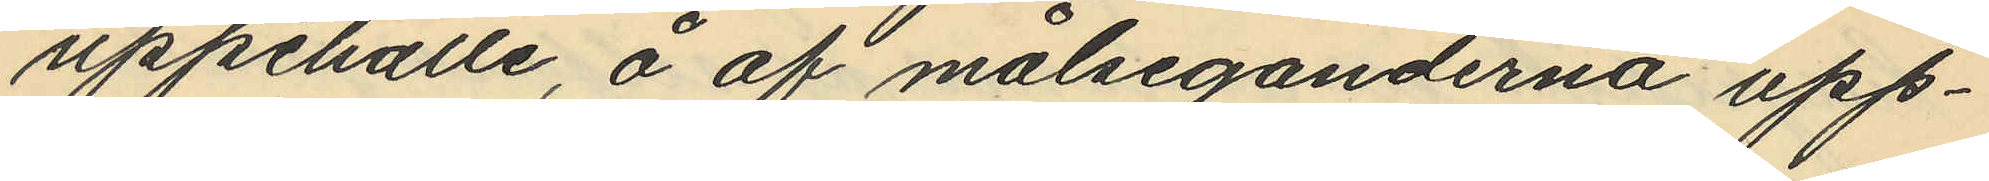uppehälle, å af målseganderna upp¬
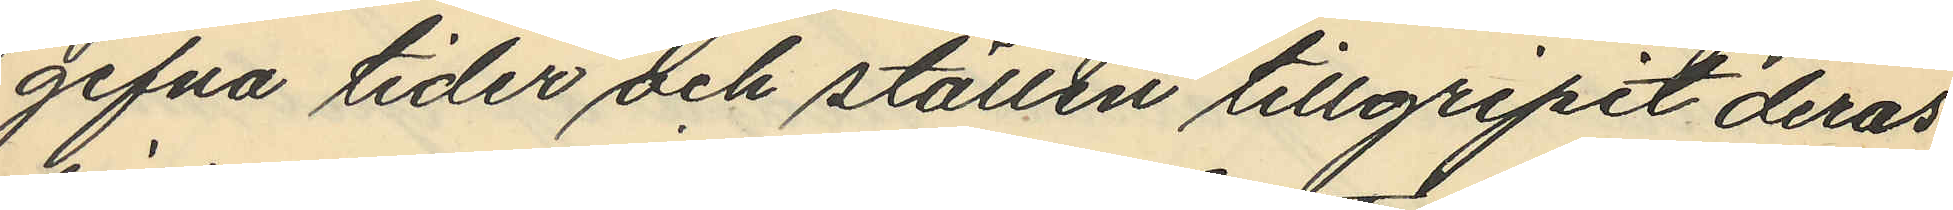gifna tider och ställen tillgripit deras
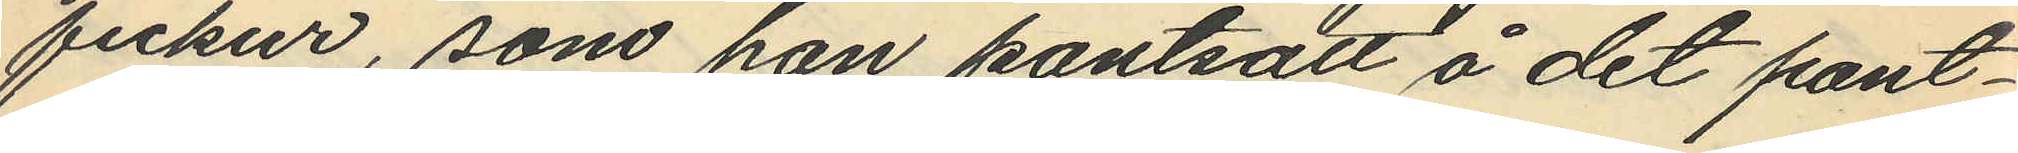fickur, som han pantsatt å det pant¬
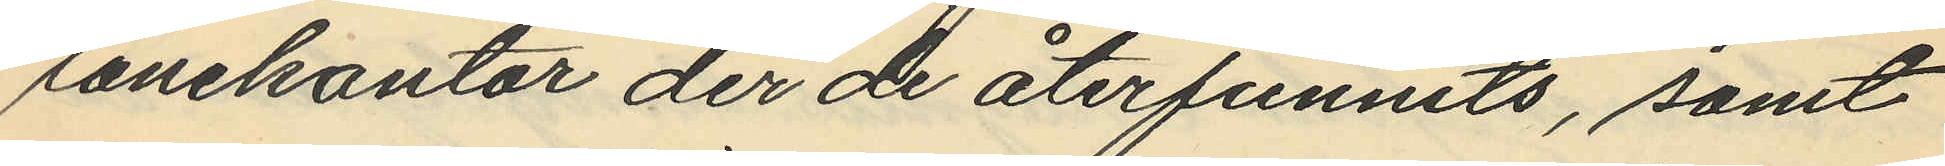lånekontor der de återfunnits, samt
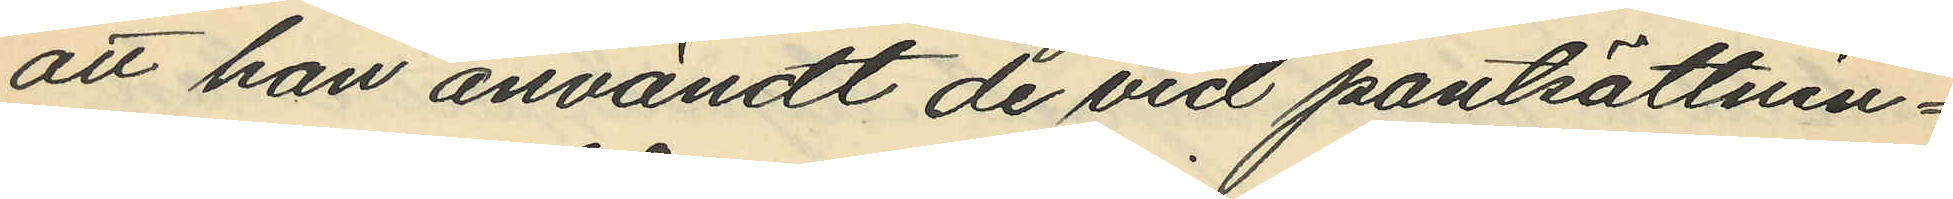att han användt de vid pantsättnin¬
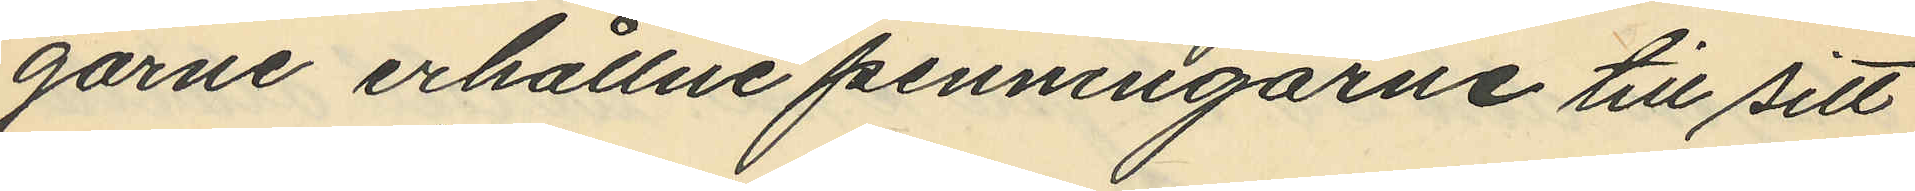garne erhållne penningarne till sitt
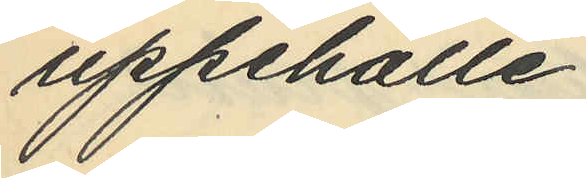uppehälle.
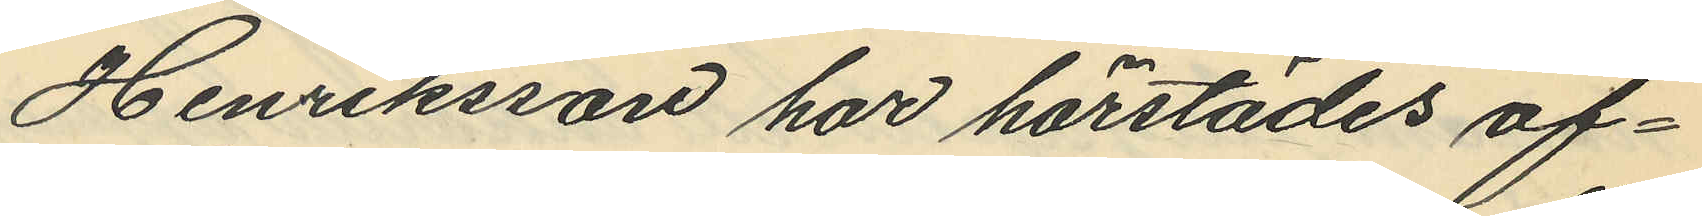Henriksson har härstädes af¬
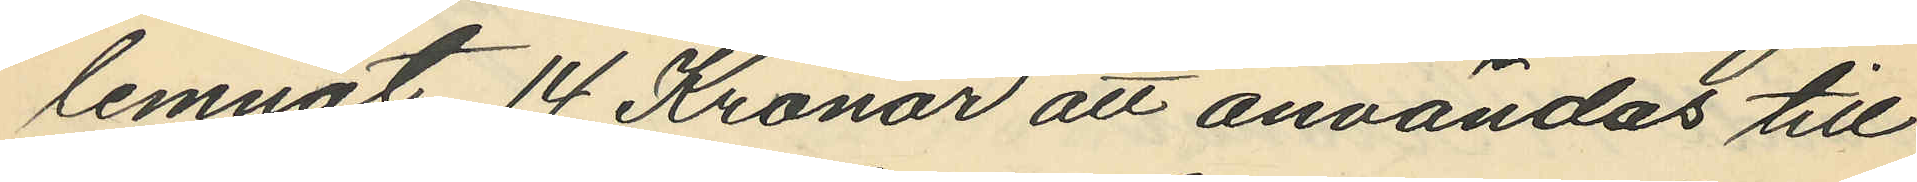lemnat 14 Kronor att användas till
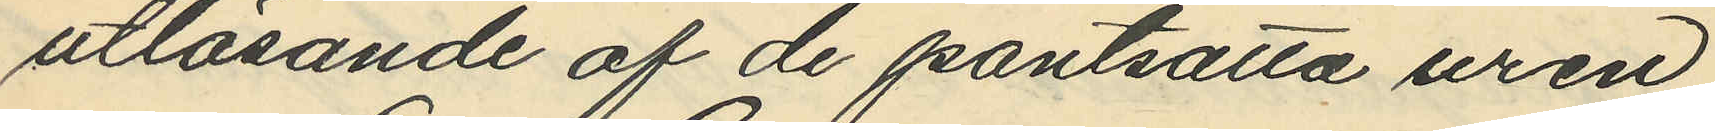utlösande af de pantsätta uren
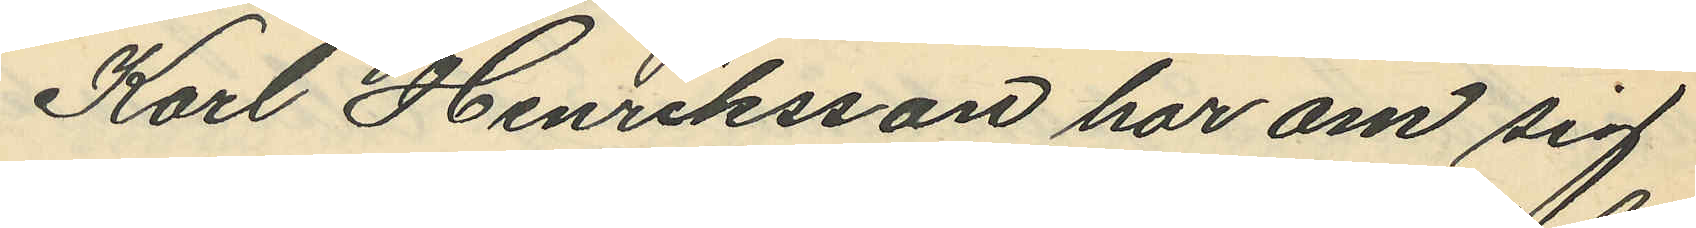Karl Henriksson har om sig
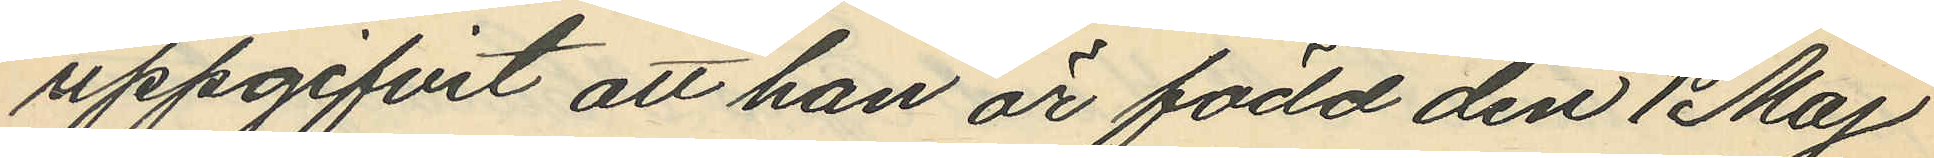uppgifvit att han är född den 1 Maj
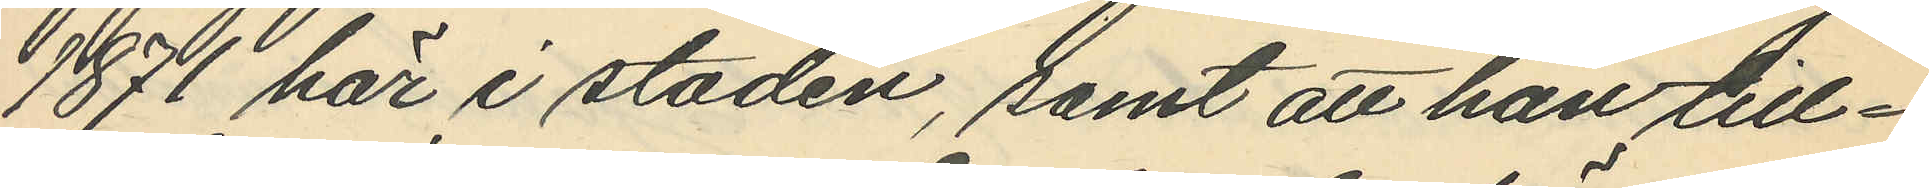1871 här i staden, samt att han till¬
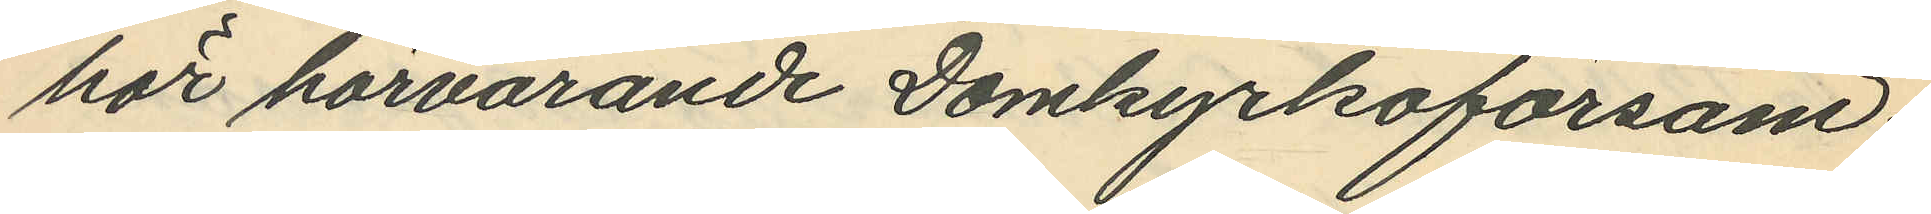hör härvarande Domkyrkoförsam¬
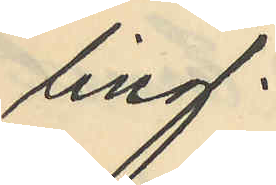ling.
